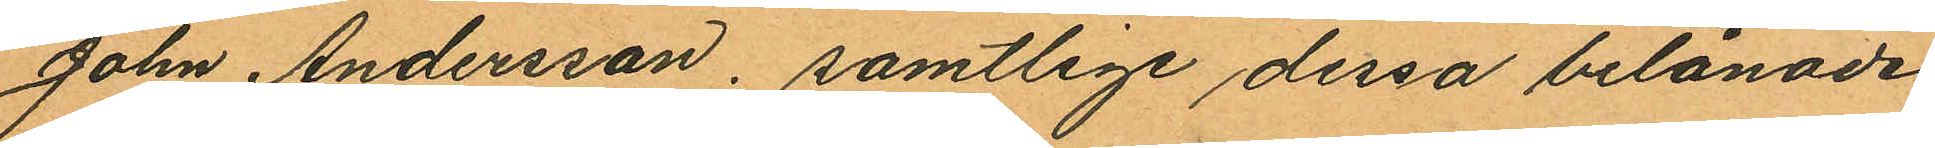John Andersson, samtlige dessa belånade
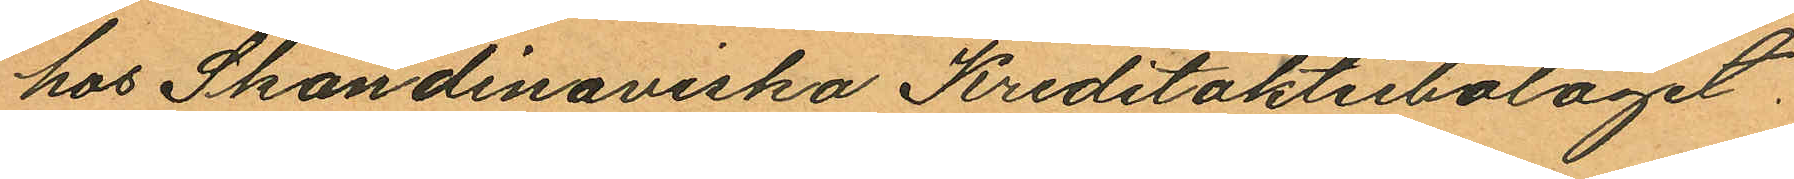hos Skandinaviska Kreditaktiebolaget.
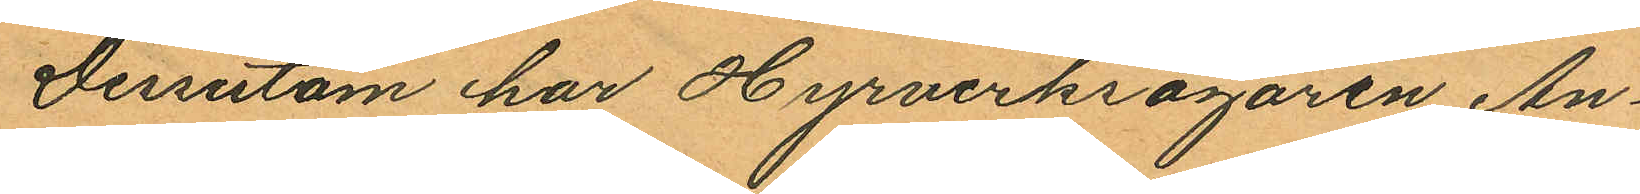Dessutom har Hyrverkägaren An¬
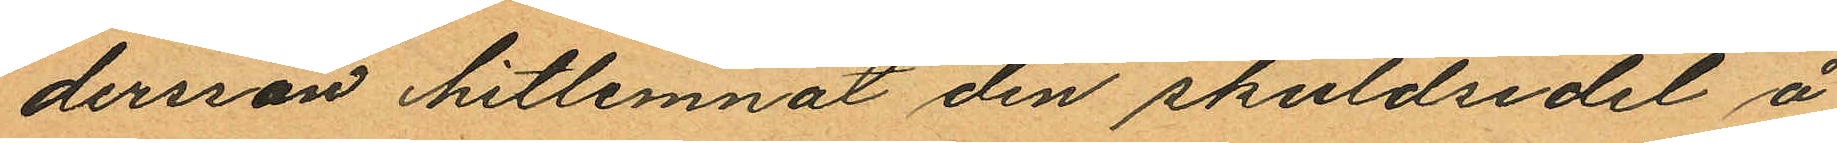dersson hitlemnat den skuldsedel å
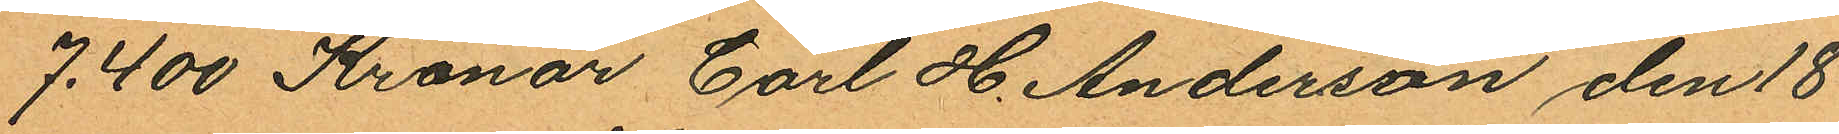7.400 Kronor Carl H. Anderson den 18
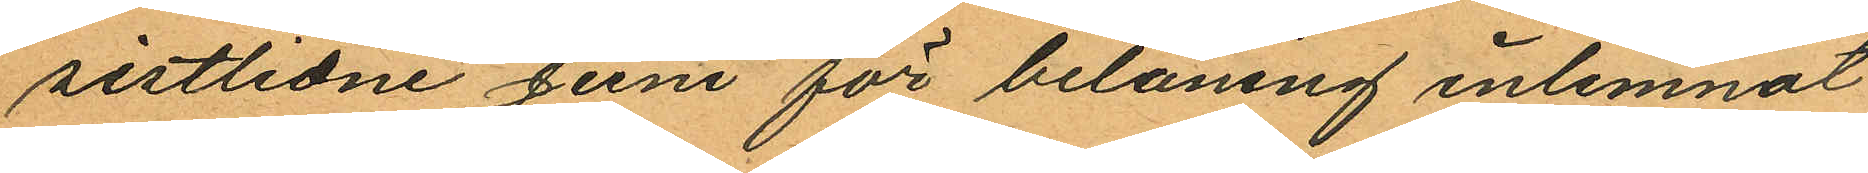sistlidne Juni för belåning inlemnat
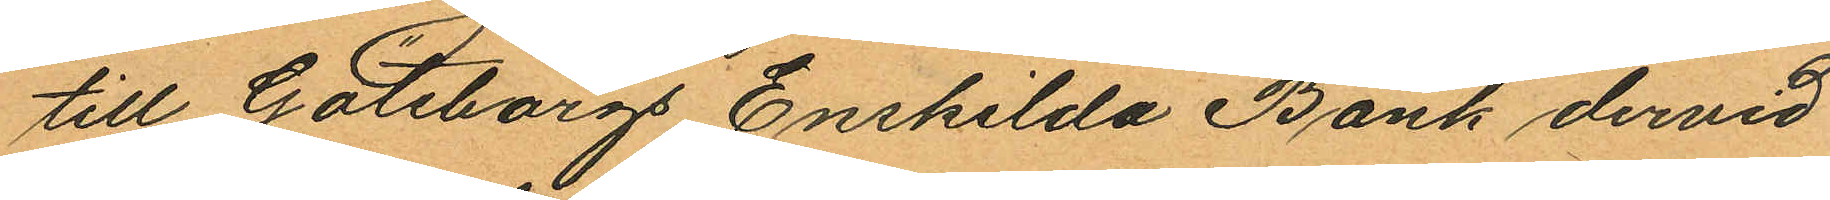till Göteborgs Enskilda Bank dervid
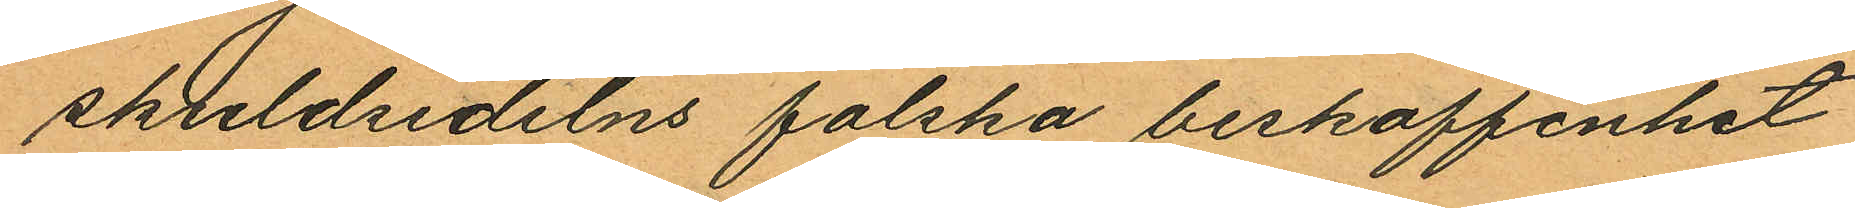skuldsedelns falska beskaffenhet
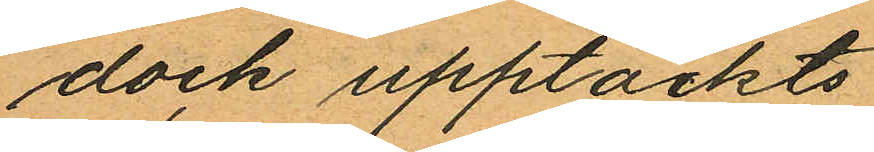dock upptäckts.
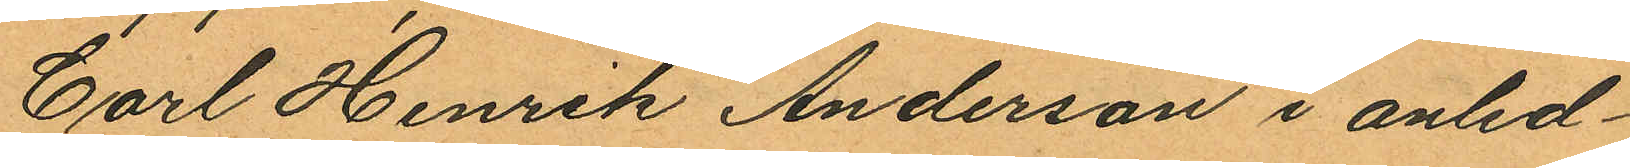Carl Henrik Anderson i anled¬
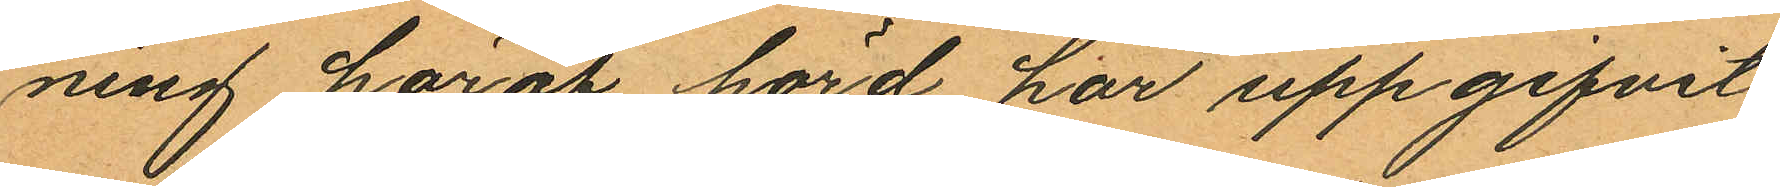ning häraf hörd har uppgifvit
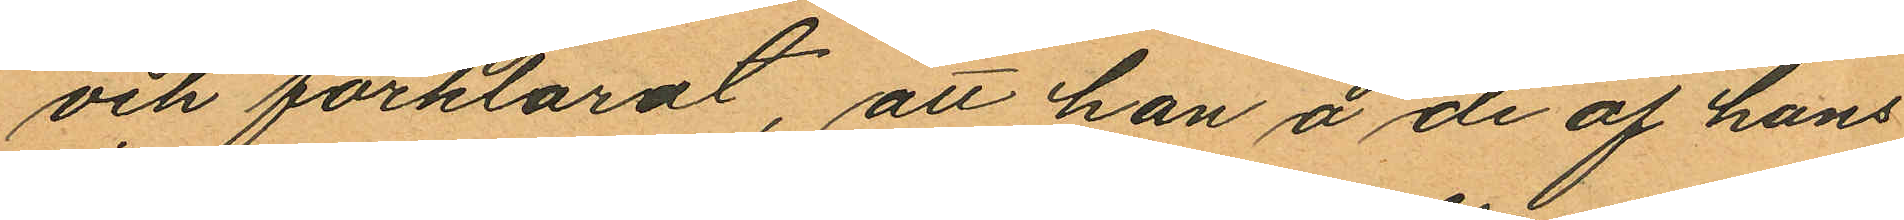och förklarat, att han å de af hans
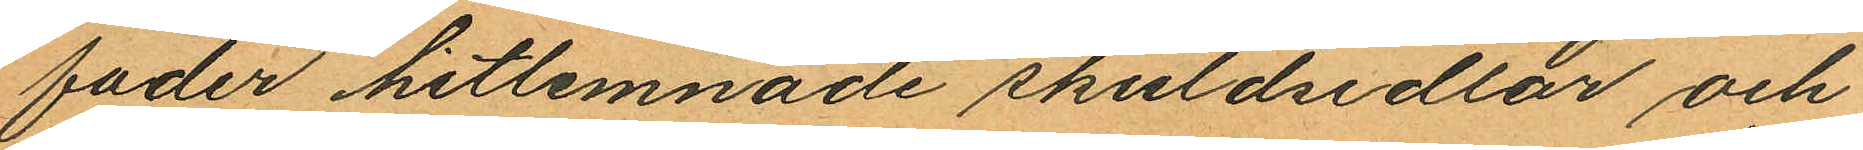fader hitlemnade skuldsedlar och
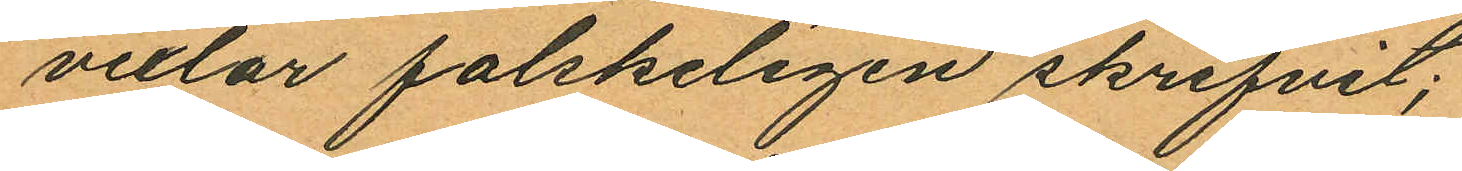vexlar falskeligen skrifvit;
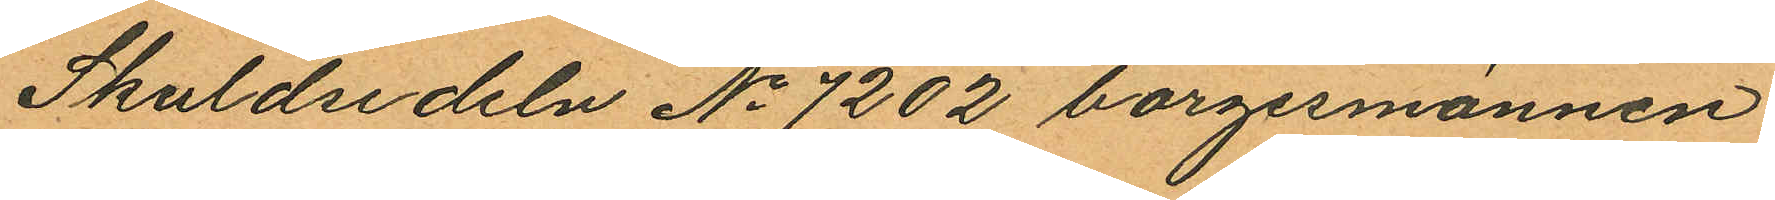Skuldsedeln No 7202 borgesmännen
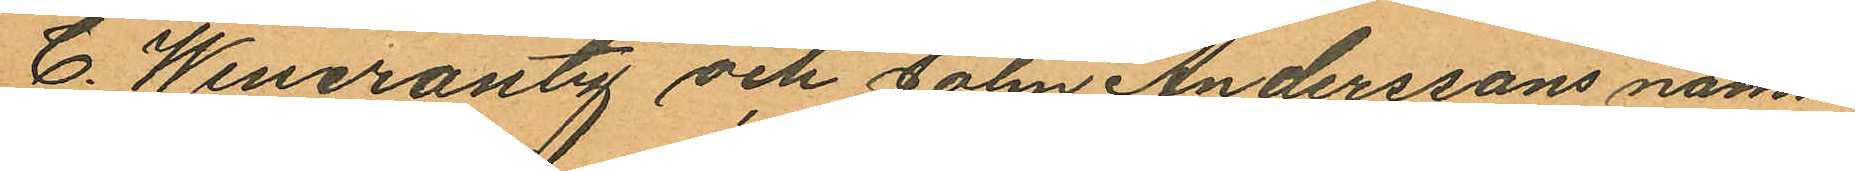C. Wincrantz och John Anderssons namn.
